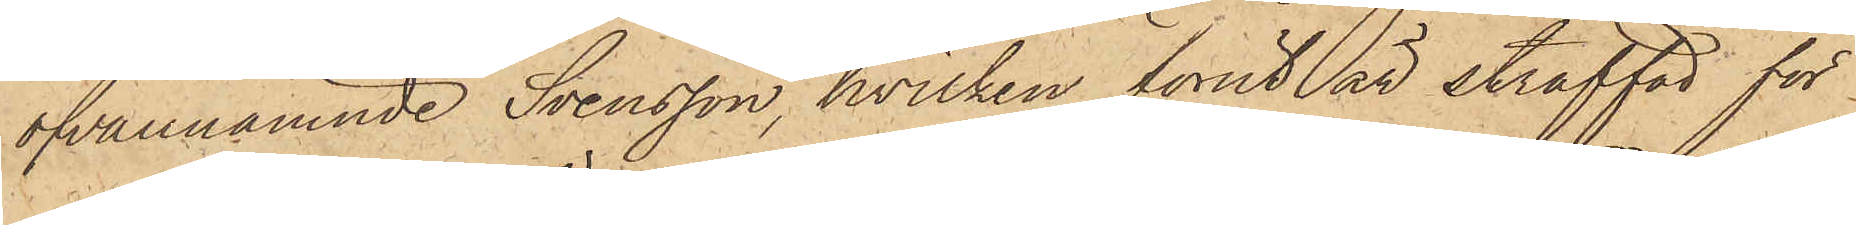ofvannämnde Svensson, hvilken förut är straffad för
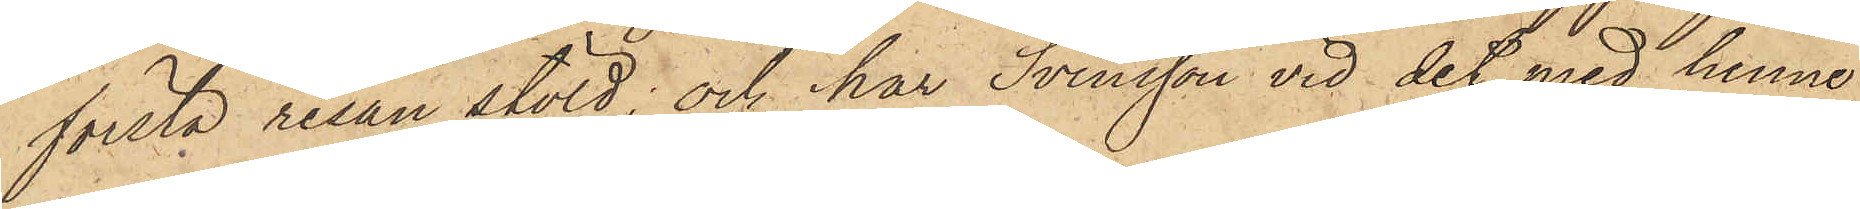första resan stöld; och har Svensson vid det med henne
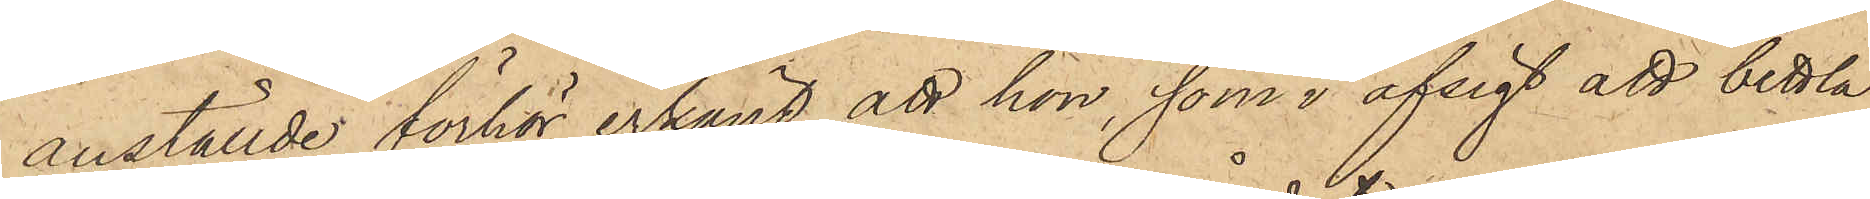anställde förhör erkänt, att hon, som i afsigt att bettla
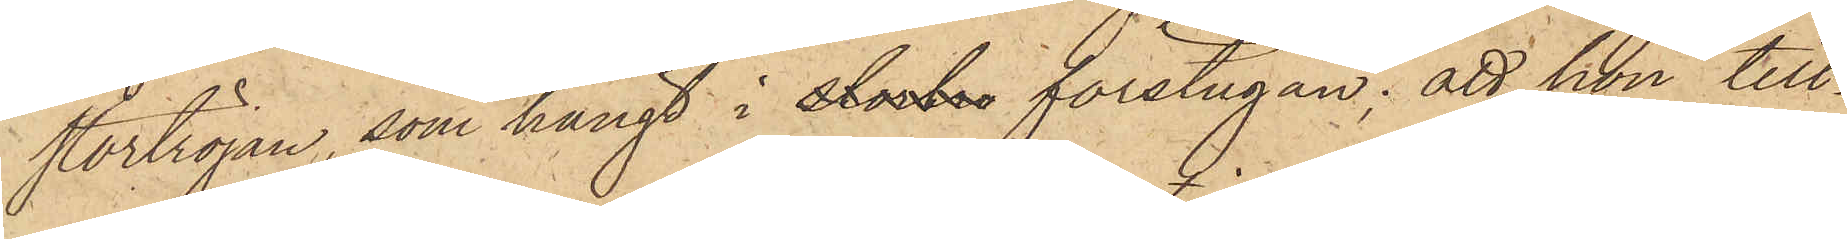stortröjan, som hängt i Stocka förstugan; att hon till¬
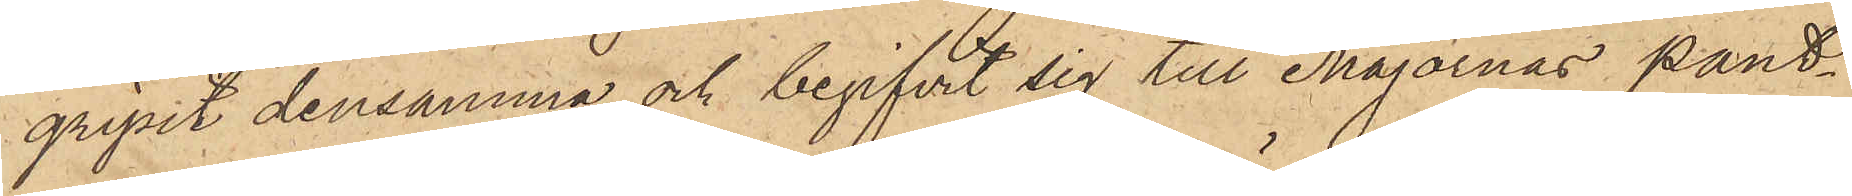gripit densamma och begifvit sig till Majornas pant¬
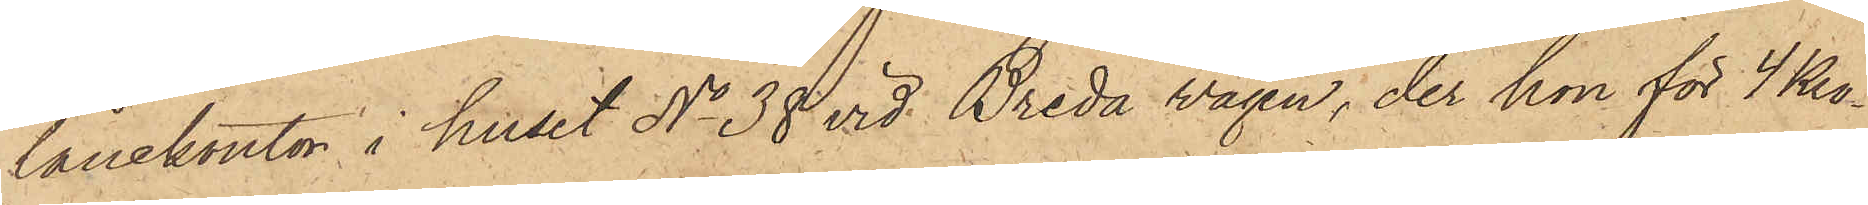lånekontor i huset No 38 vid Breda vägen, der hon för 4 Kro¬
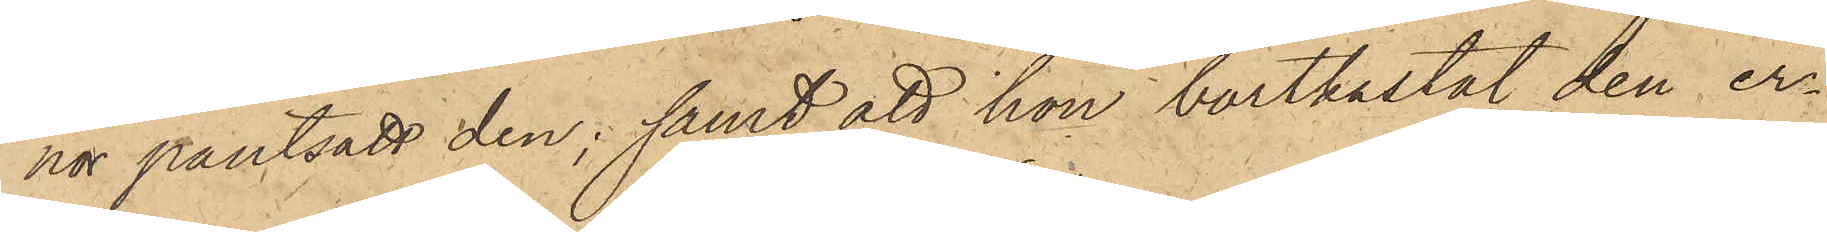nor pantsatt den; samt att hon bortkastat den er¬
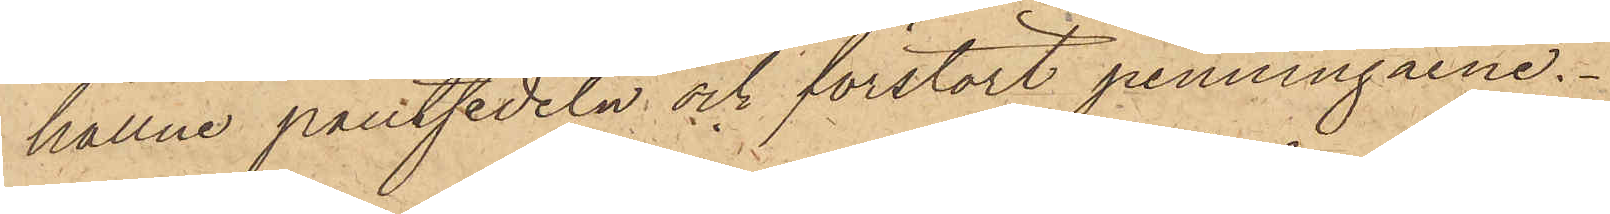hållne pantsedeln och förstört penningarne.
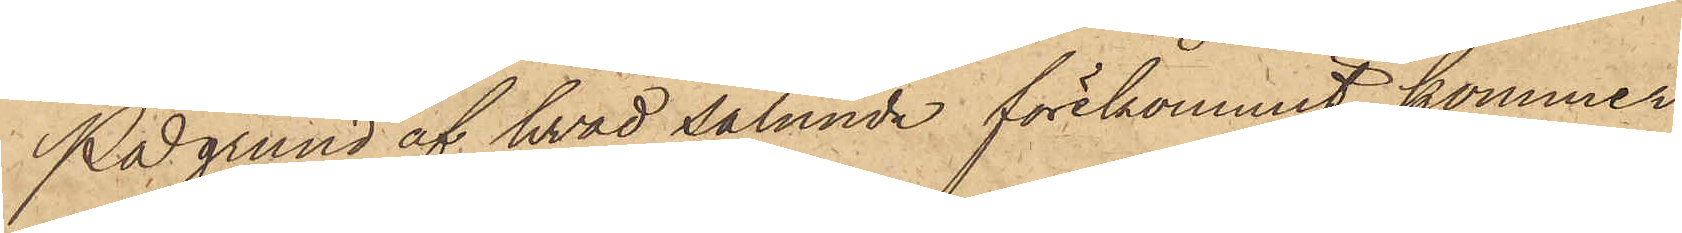På grund af hvad sålunda förekommit, kommer
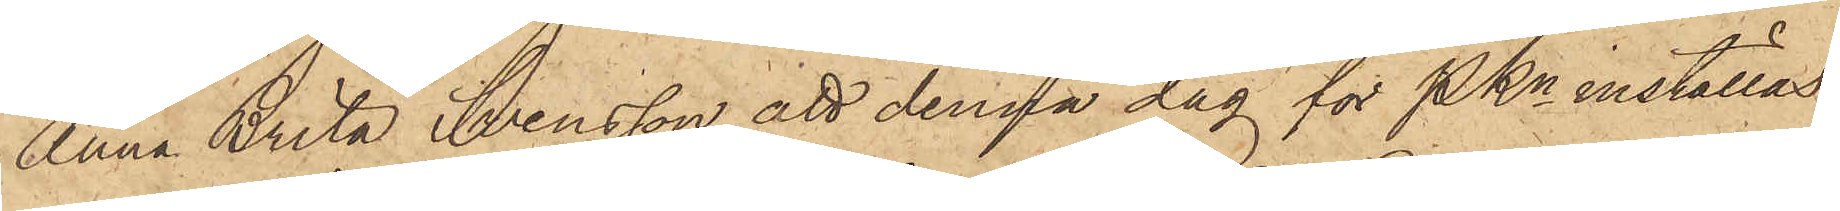Anna Brita Svensson att denna dag för PKn inställas.
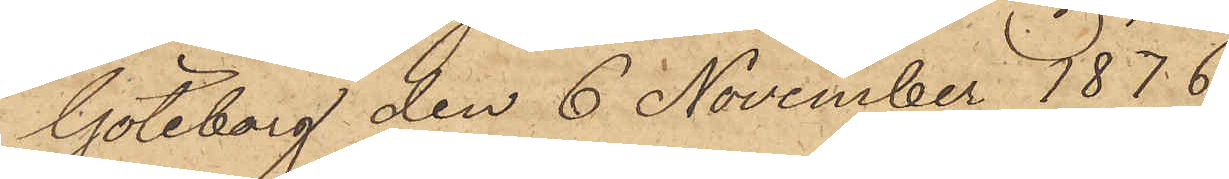Göteborg den 6 November 1876
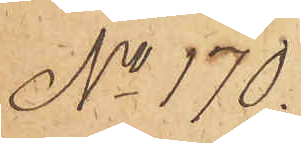No 170.
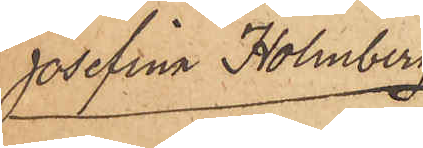Josefina Holmberg
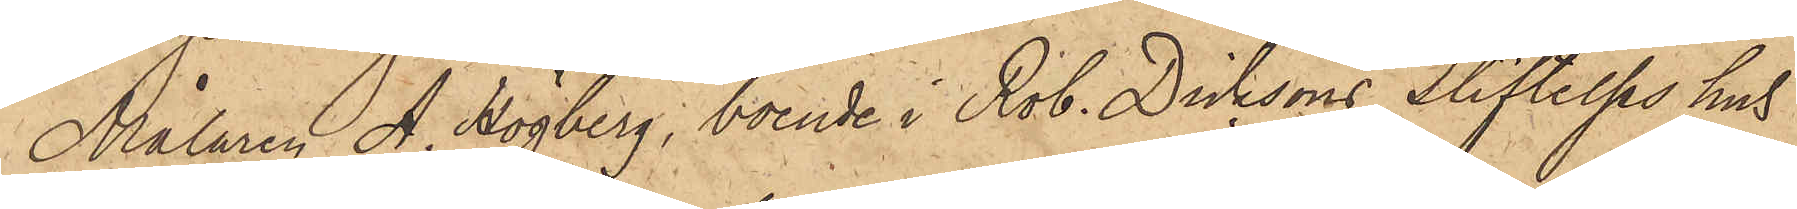Målaren A. Högberg, boende i Rob. Dicksons Stiftelses hus
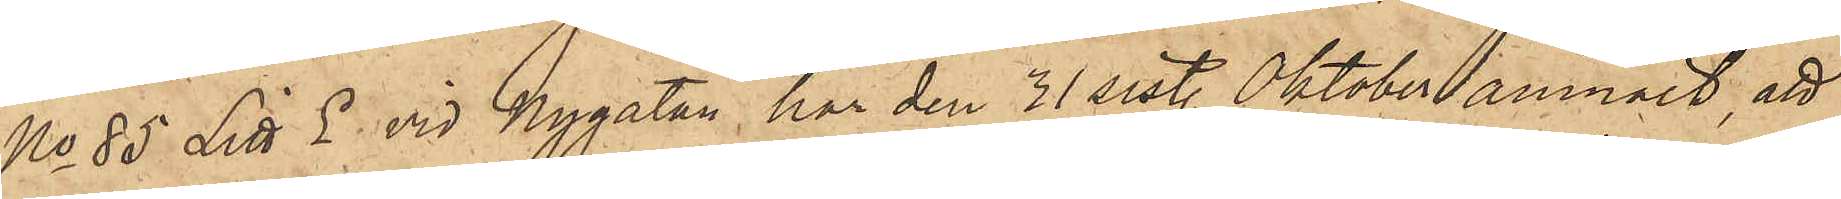No 85 Litt. E. vid Nygatan, har den 31 sist. Oktober anmält, att
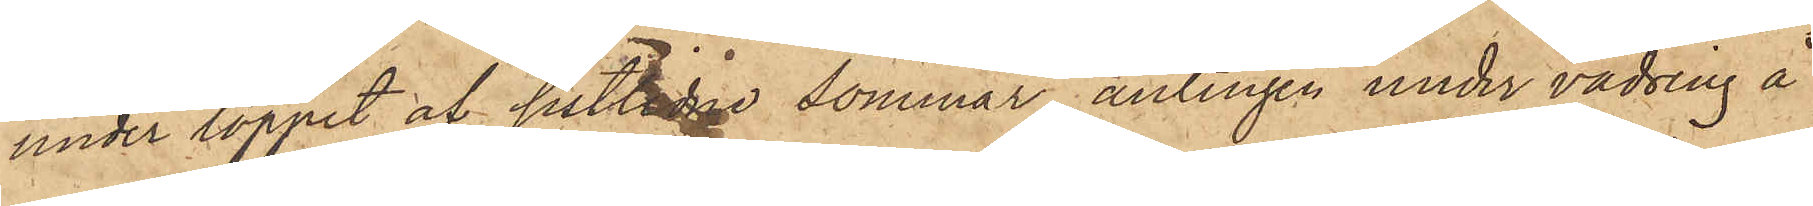under loppet af sistlidne sommar, antingen under vädring å
